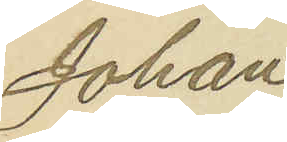Johan
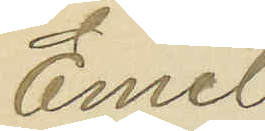Emil
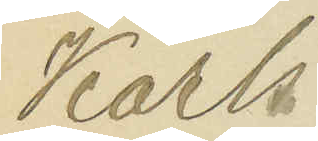Karls¬
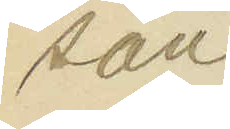son
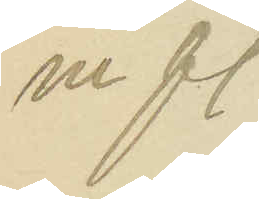m fl.
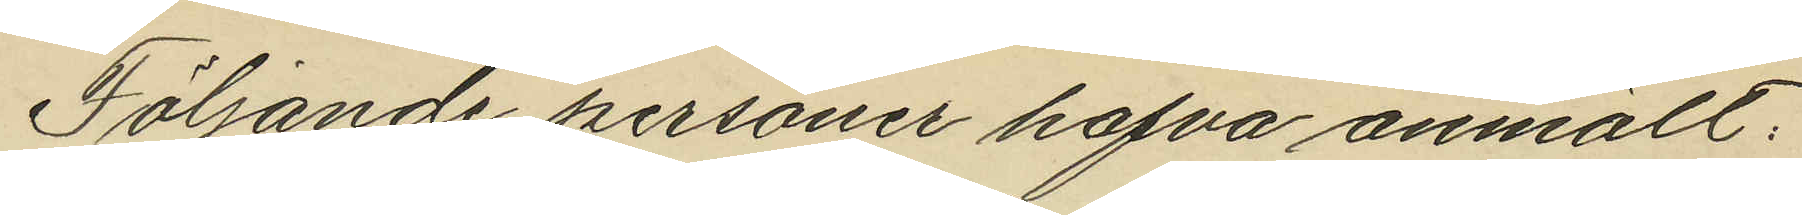Följande personer hafva anmält:
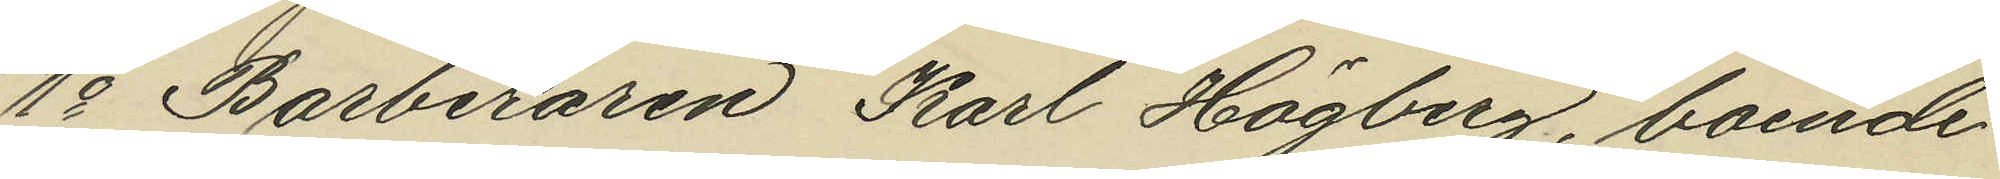1o Barberaren Karl Högberg, boende
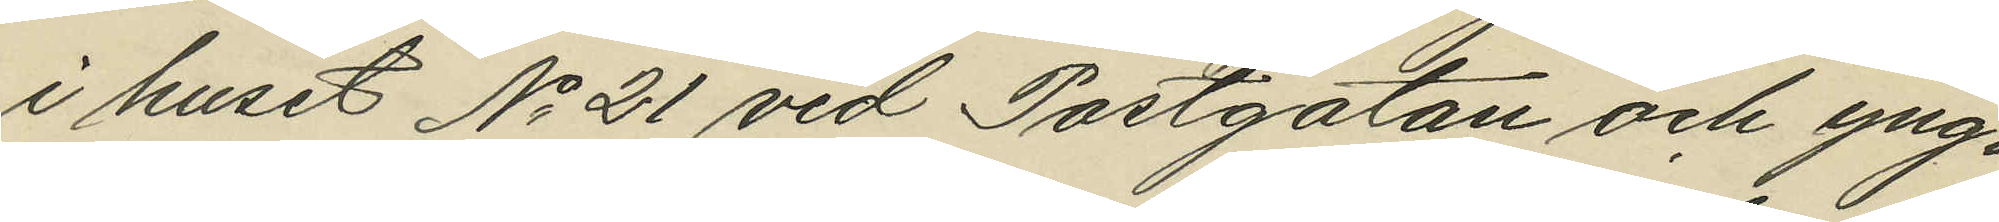i huset No 21 vid Postgatan och yng¬
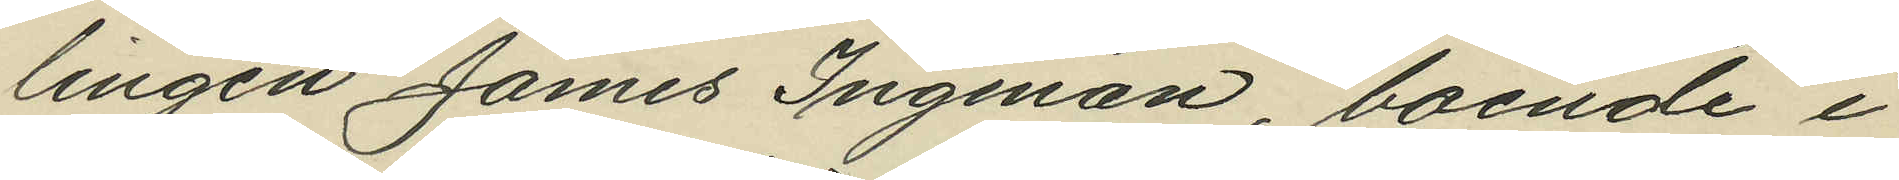lingen James Ingman, boende i
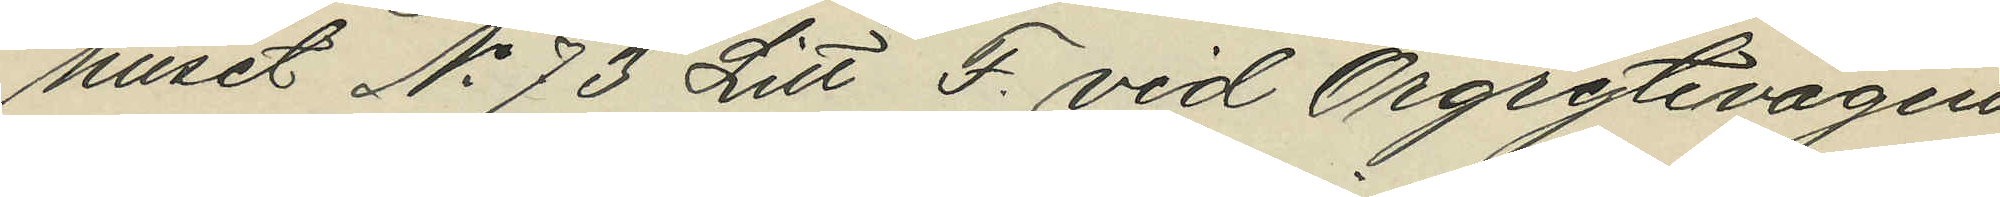huset No 73 Litt F. vid Örgrytevägen
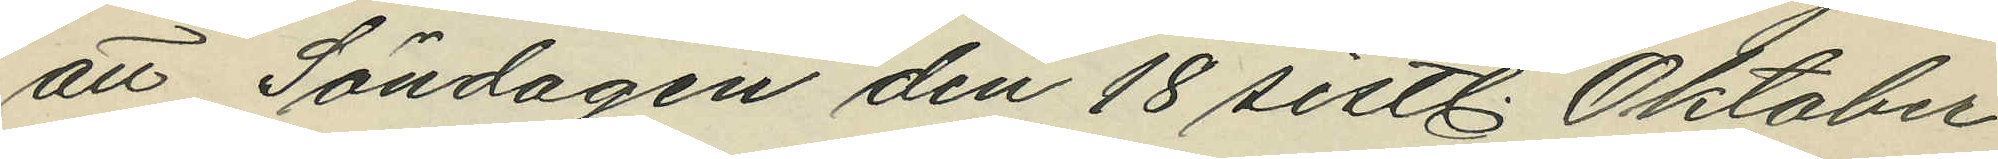att Söndagen den 18 sistl. Oktober
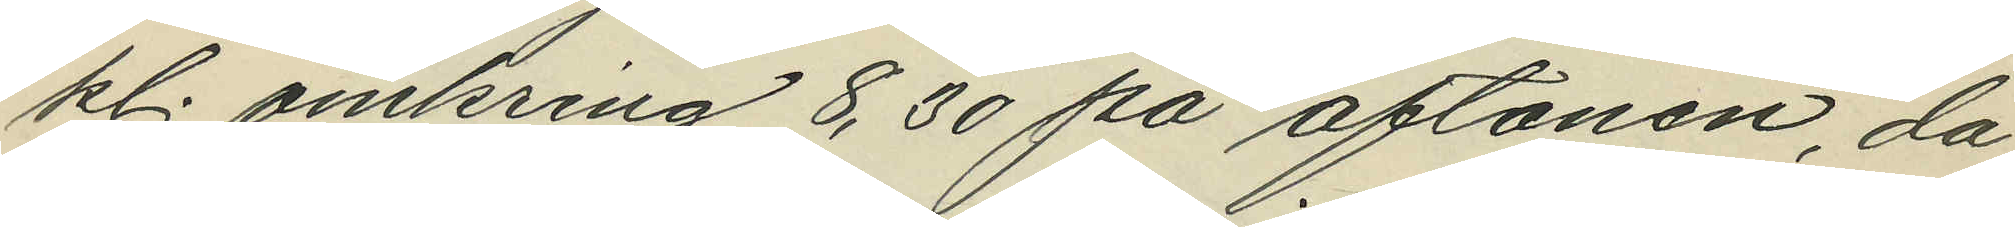kl. omkring 8,30 på aftonen, då
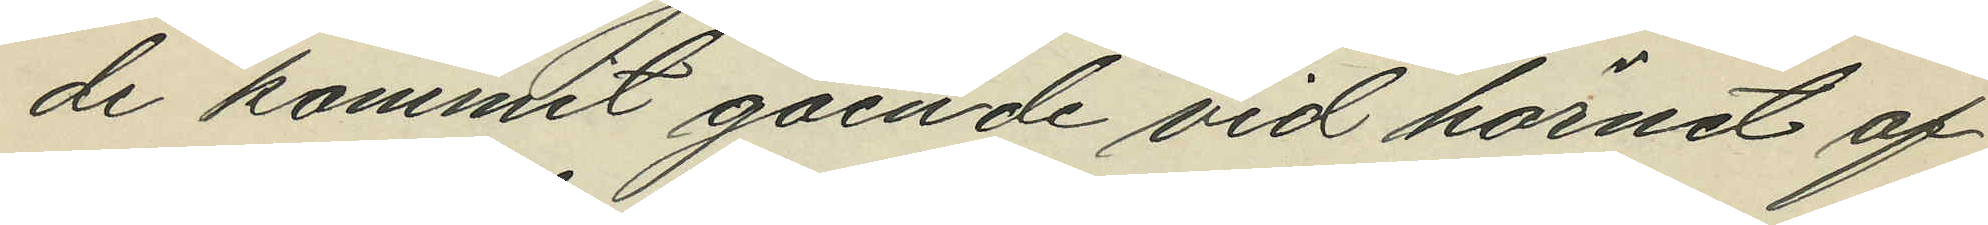de kommit gående vid hörnet af
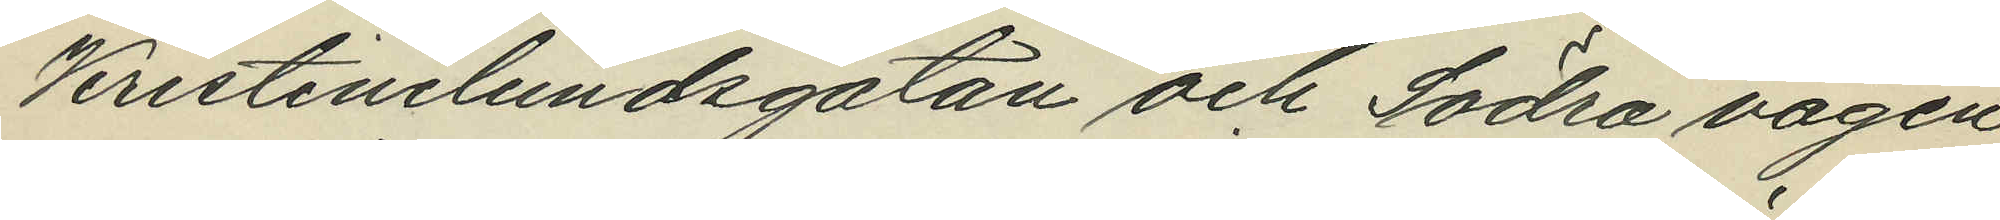Kristinelundsgatan och Södra vägen
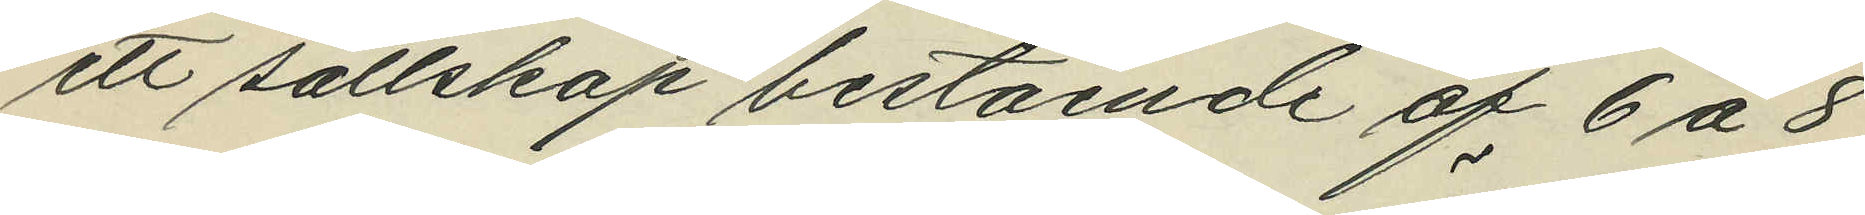ett sällskap bestående af 6 à 8
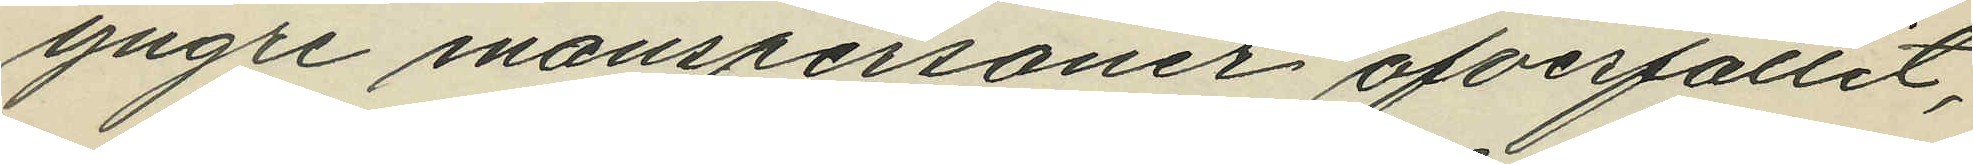yngre manspersoner öfverfallit,
